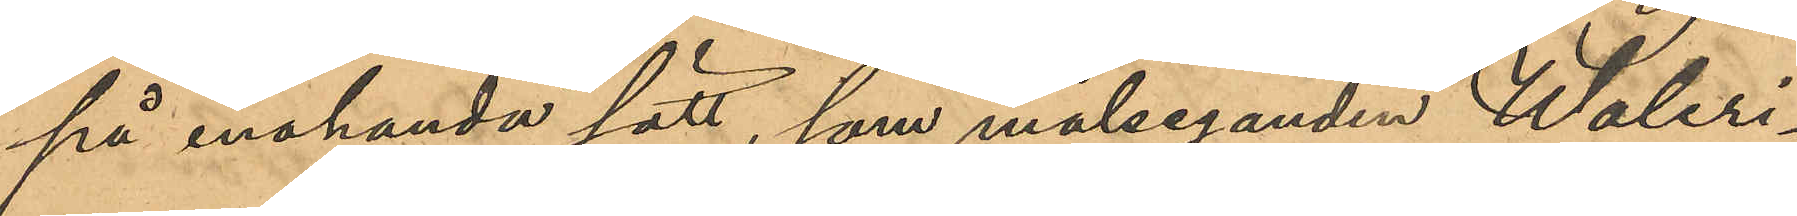på enahanda sätt, som målseganden Waleri¬
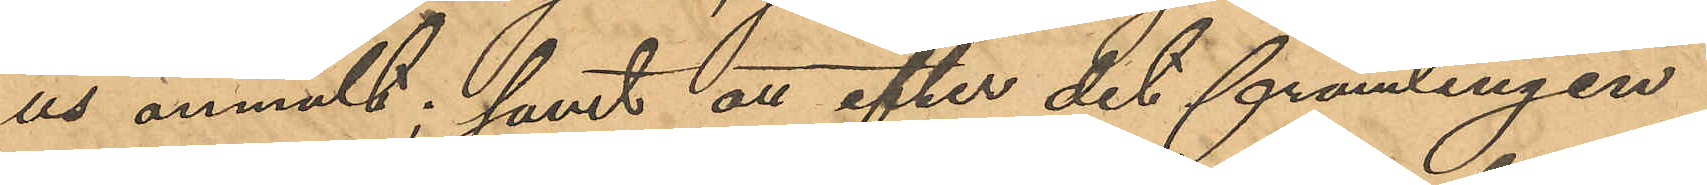us anmält, samt att efter det främlingen
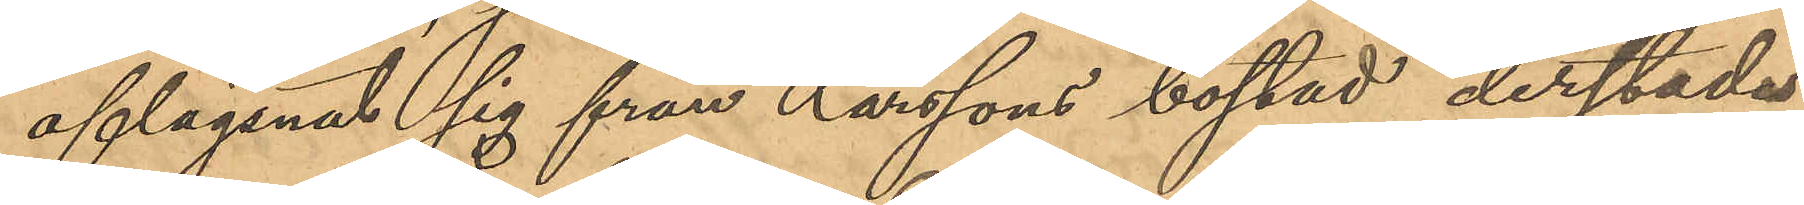aflägsnat sig från Larssons bostad derstädes
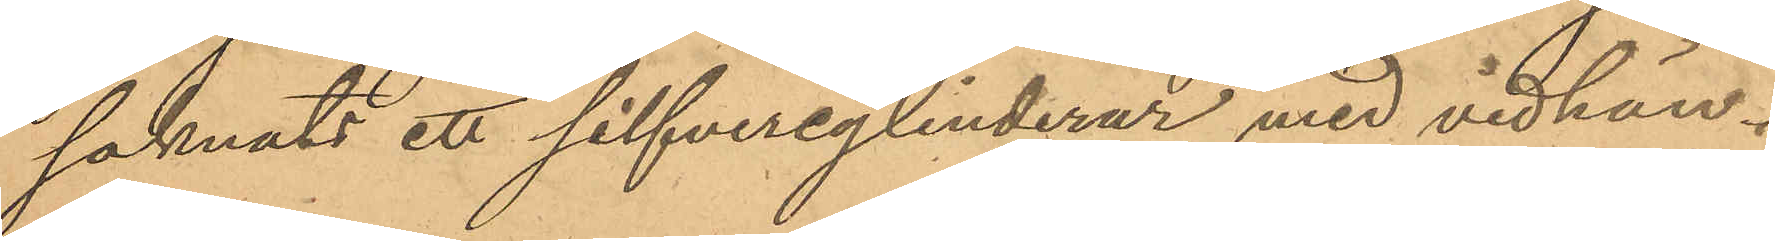saknats ett silfvercylinderur med vidhän¬
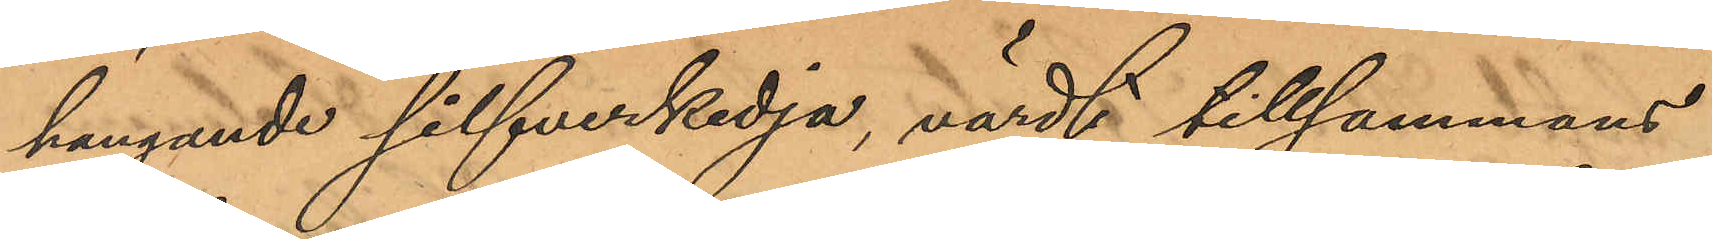hängande silfverkedja, värdt tillsammans
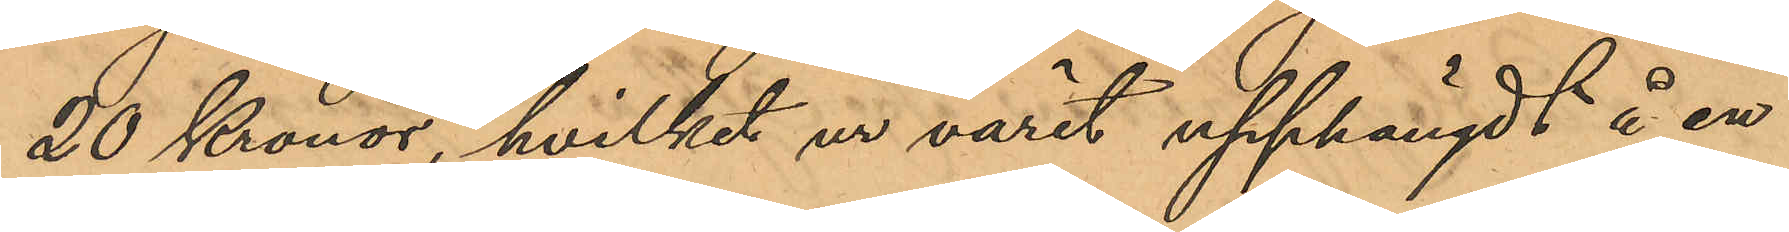20 Kronor, hvilket ur varit upphängdt å en
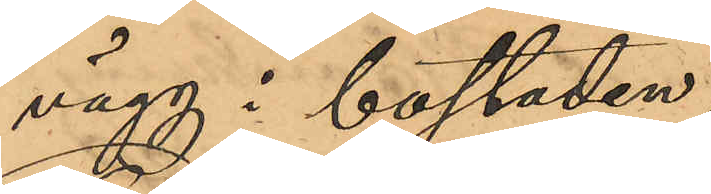vägg i bostaden;
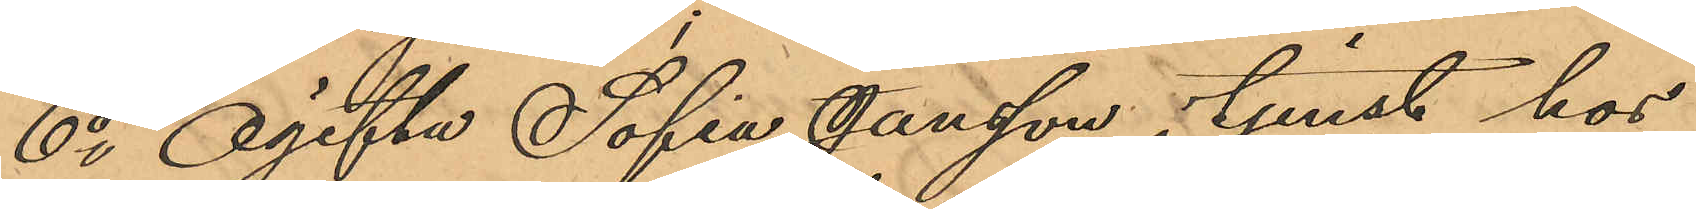6o Ogifta Sofia Jansson i tjenst hos
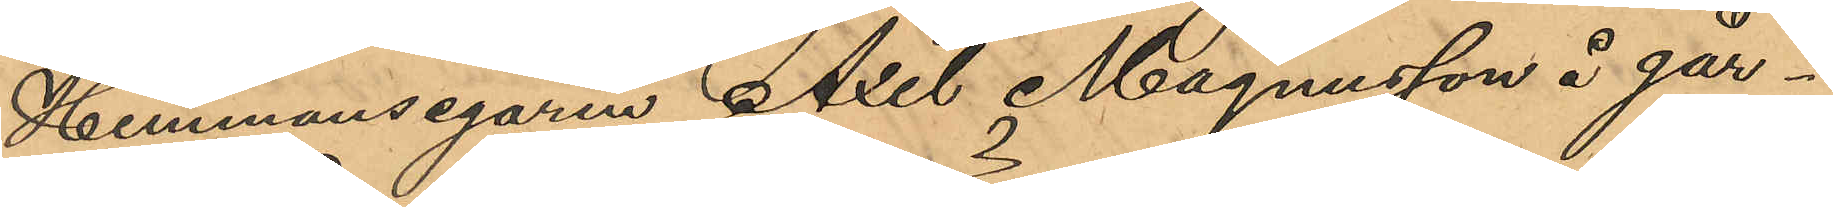Hemmansegaren Axel Magnusson å går¬
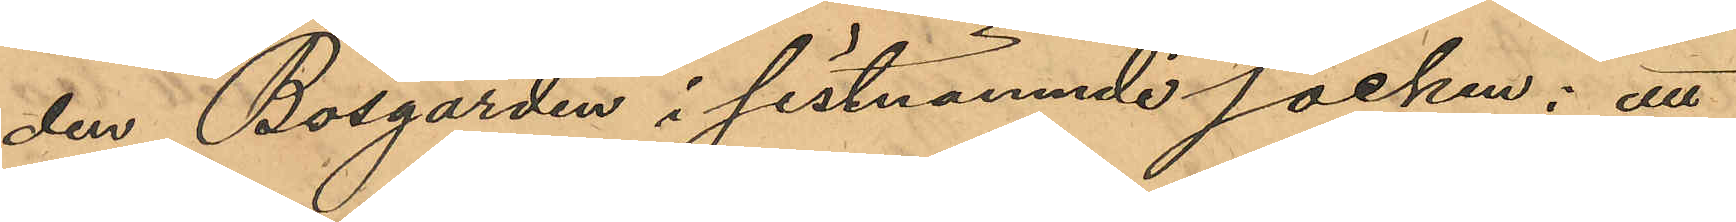den Bosgården i sistnämnde socken; att
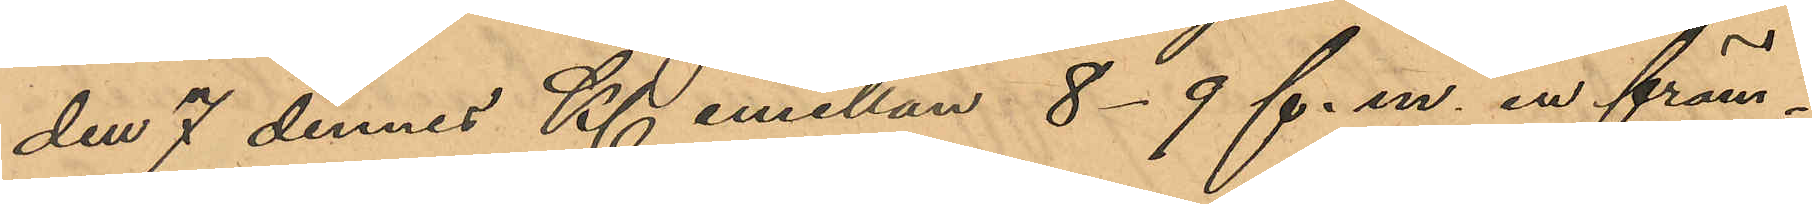den 7 dennes Kl emellan 8-9 f. m. en främ¬
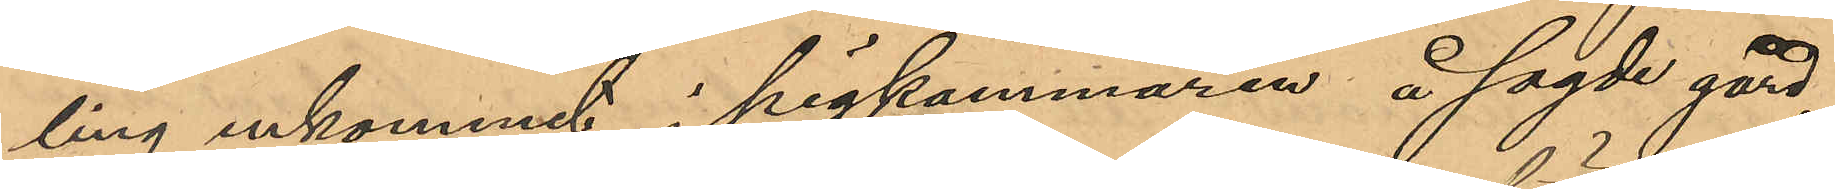ling inkommit i pigkammaren å sagde gård,
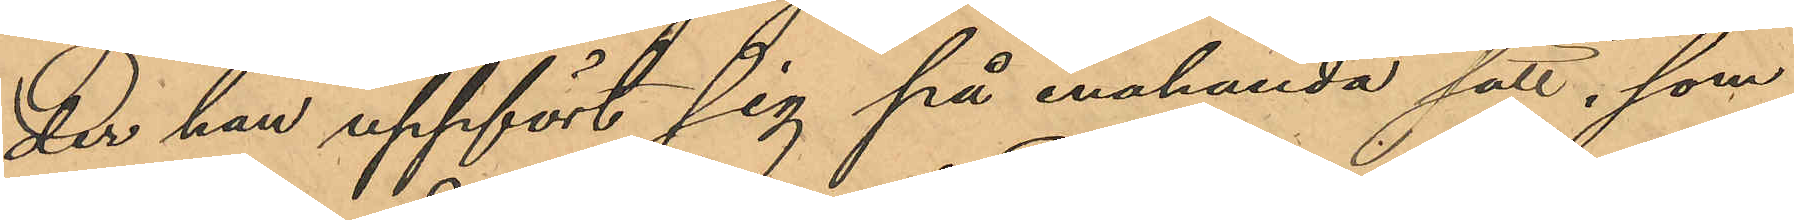der han uppfört sig på enahanda sätt, som
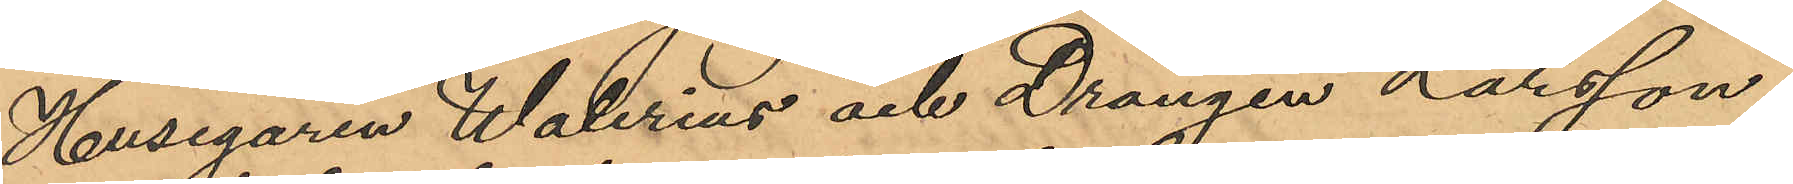Husegaren Walerius och Drängen Larsson
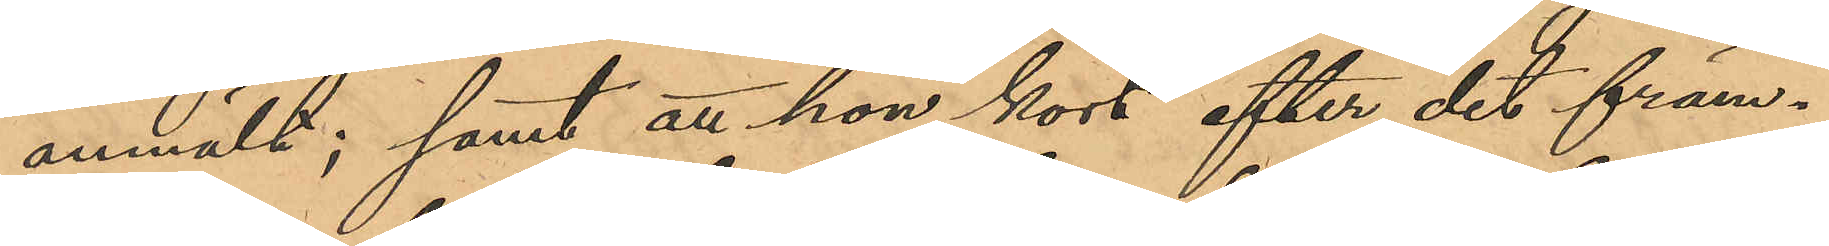anmält; samt att hon kort, efter det främ¬
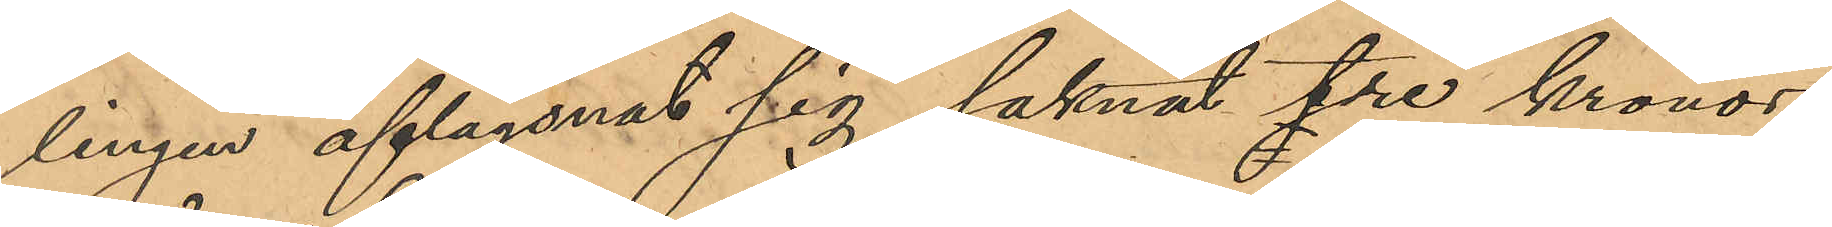lingen aflägsnat sig saknat tre kronor
